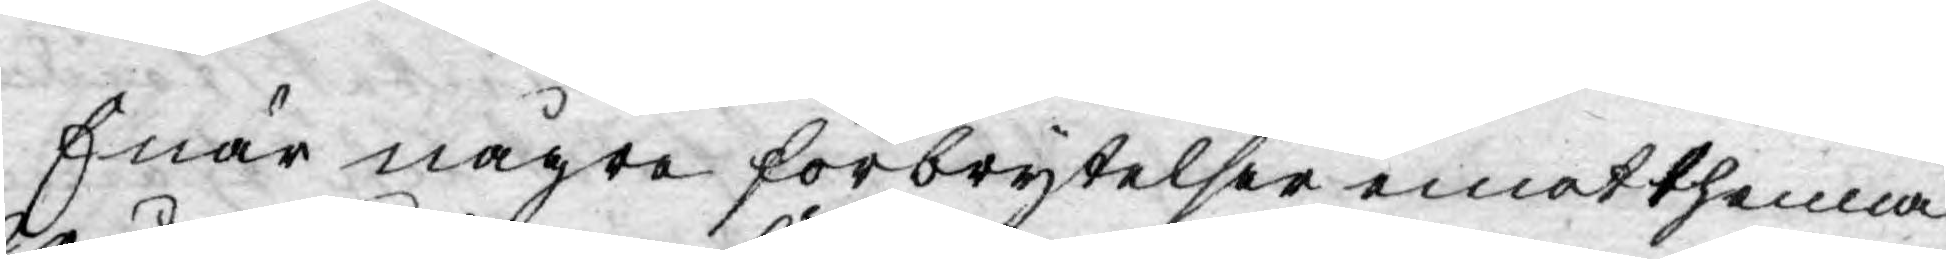Enär några förbrytelser emot thenna
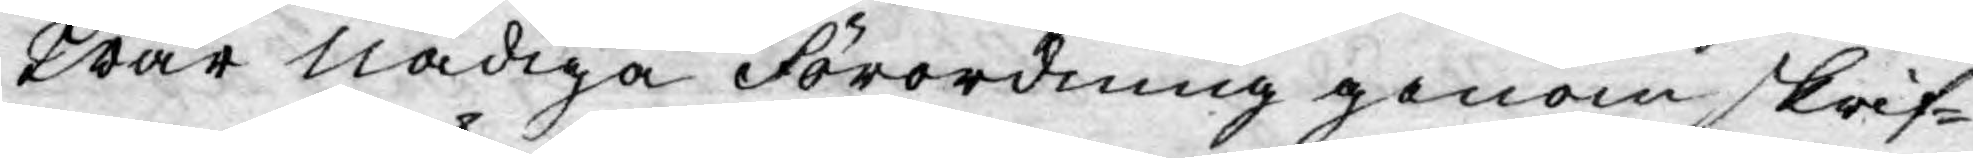Wår Nådiga Förordning genom skrif¬
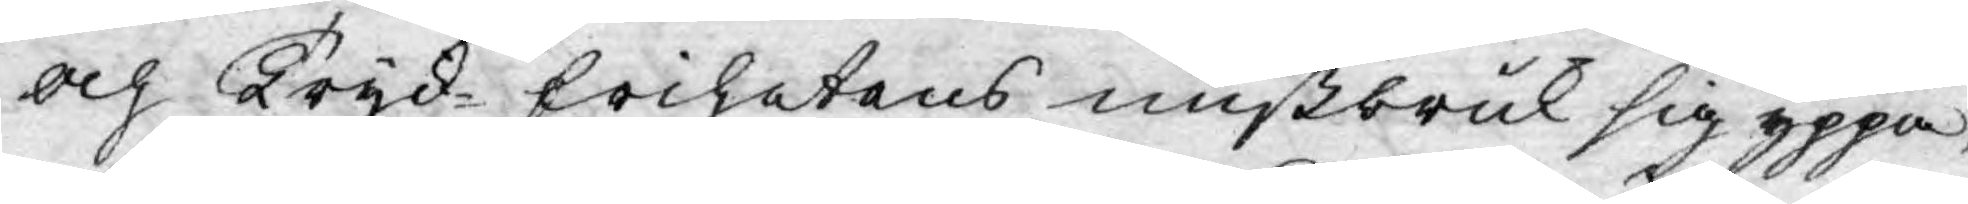och Tryk-frihetens mißbruk sig yppa,
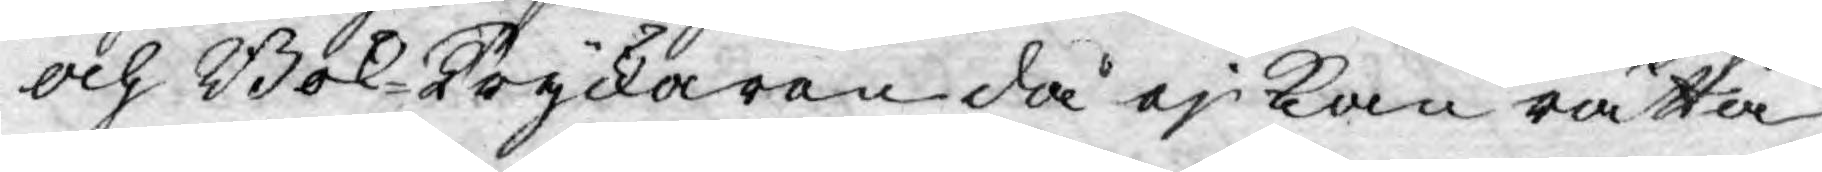och Bok-Tryckaren då ej kan rätta
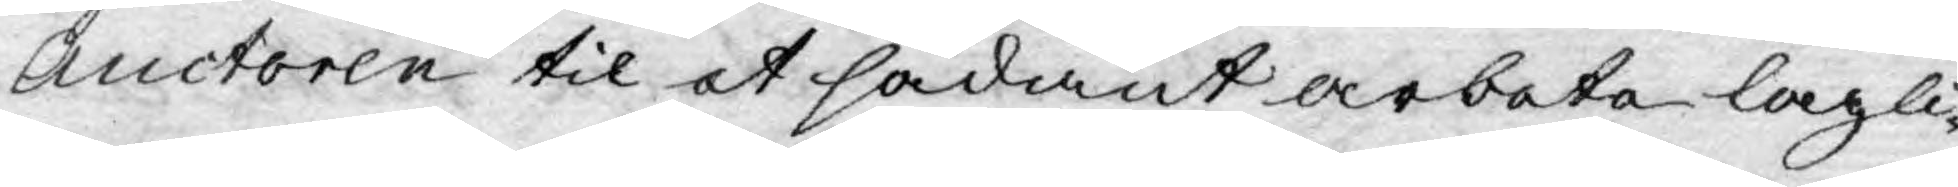Auctoren til et sådant arbete lagli¬
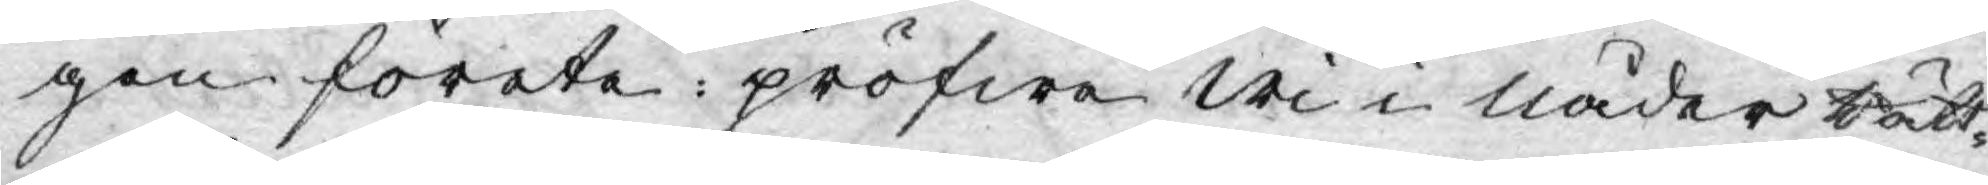gen förete: pröfwa wi i nåder rätt¬
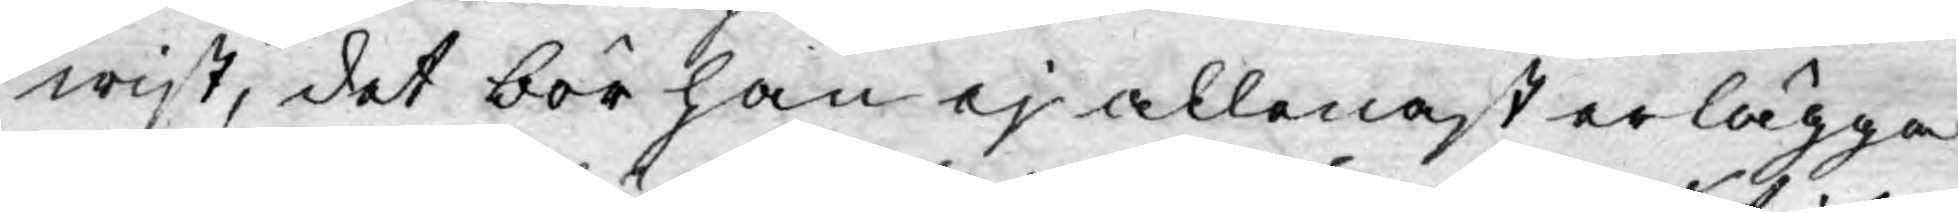wist, det bör han ej allenast erlägga
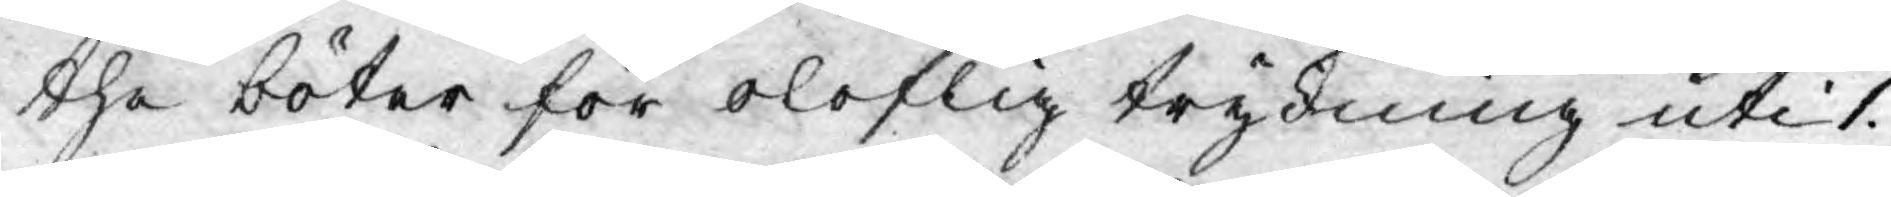the böter för oloflig trykning uti 1.
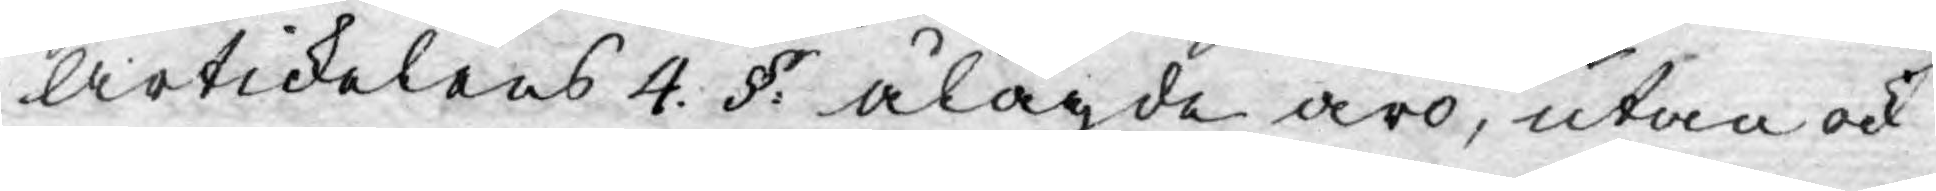Artikelens 4. §: ålagde äro, utan ock
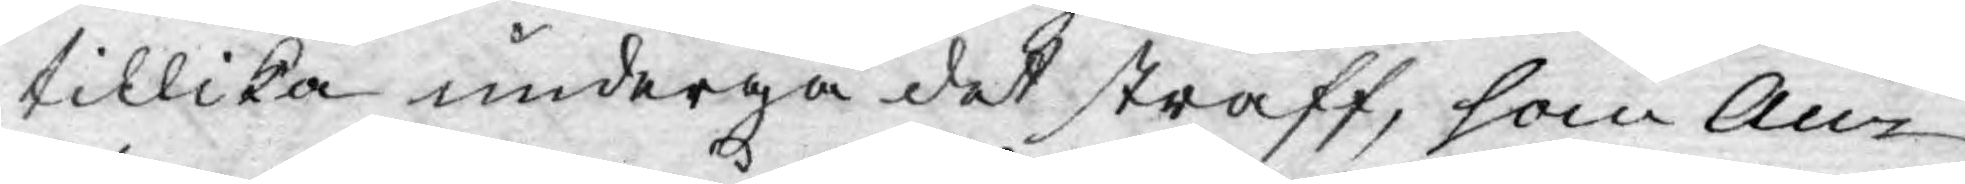tillika undergå det straff, som Au¬
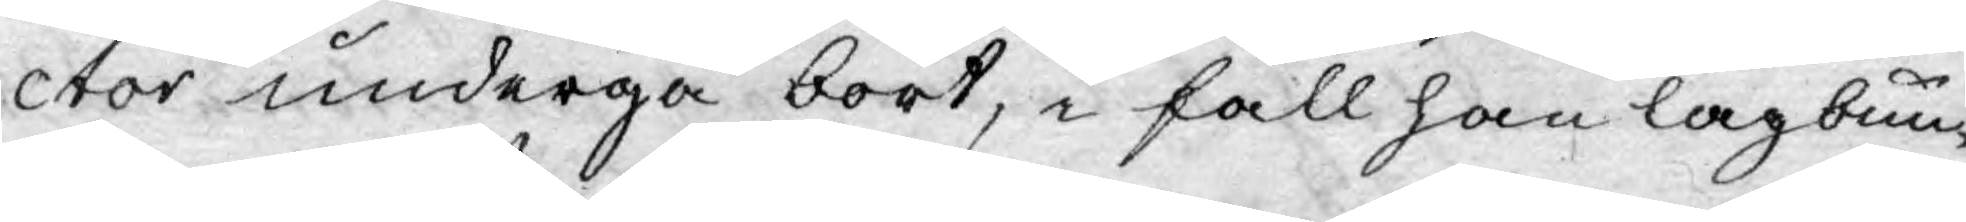ctor undergå bort, i fall han lagbun¬
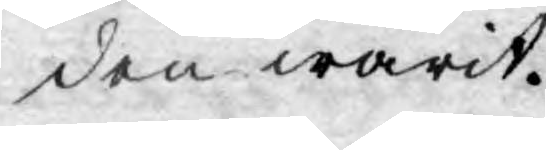den warit.
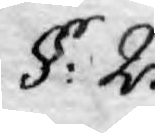§: 2.
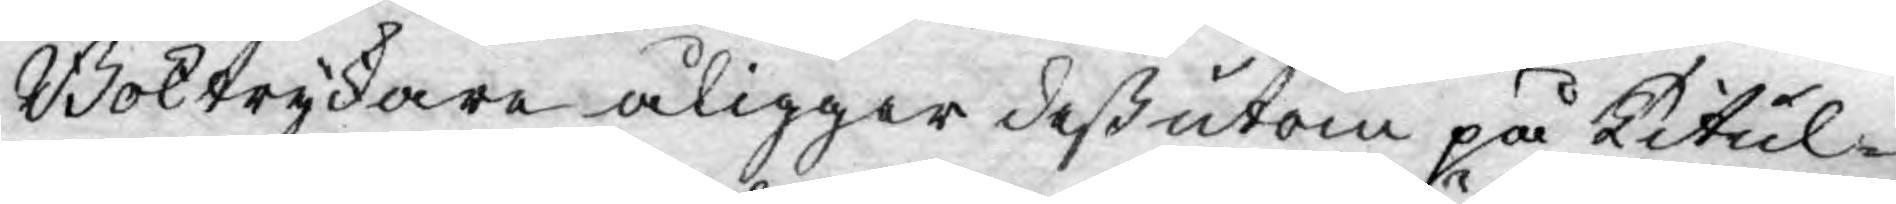Boktryckare åligger deßutom på Titul¬
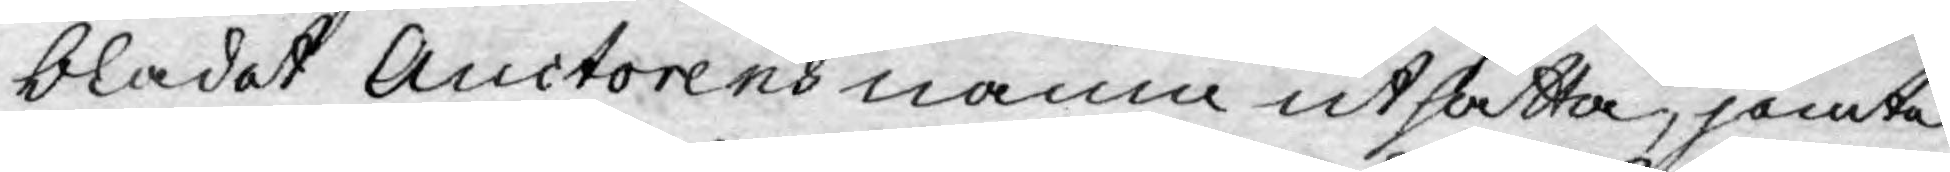bladet Auctorens namn utsätta, jemte
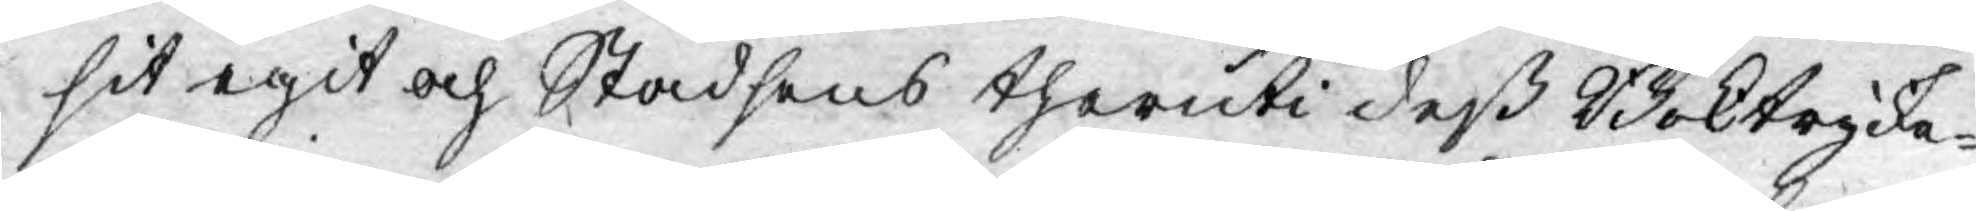sit egit och Stadsens theruti deß Boktrycke¬
